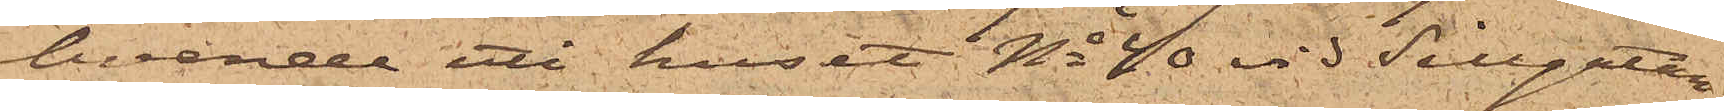boende uti huset No 40 vid Sillgatan,
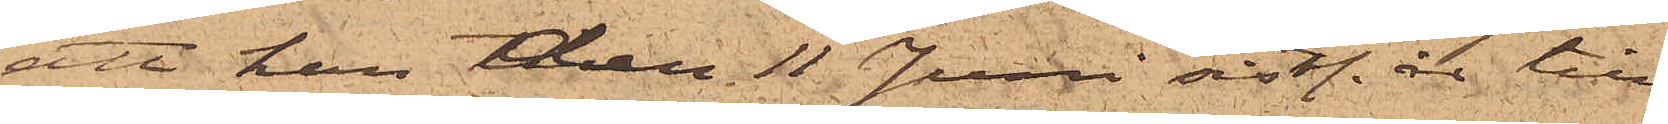att han den 11 Juni sistl. år till
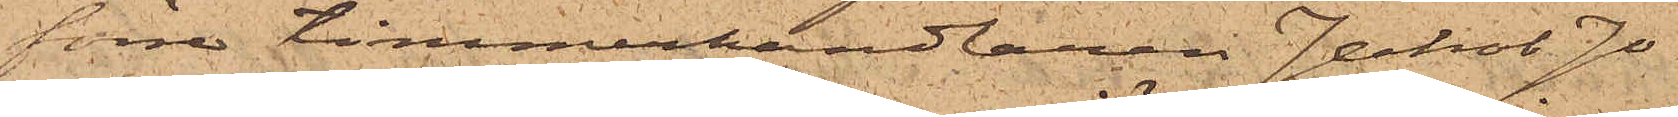förre timmerhandlaren Jakob Jo¬
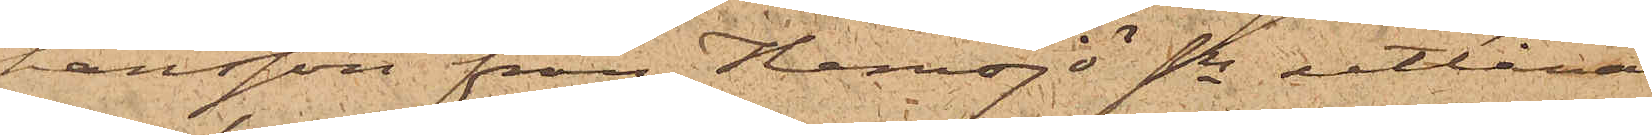hansson från Hemsjö Sn utlånat
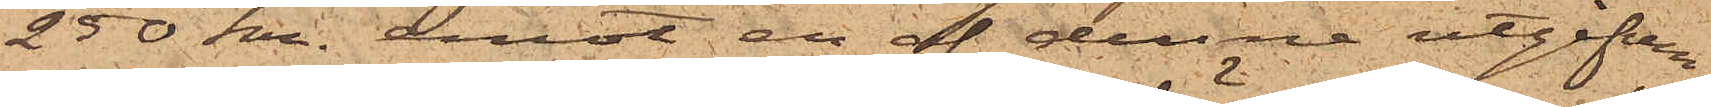250 kr. emot en af denne utgifven
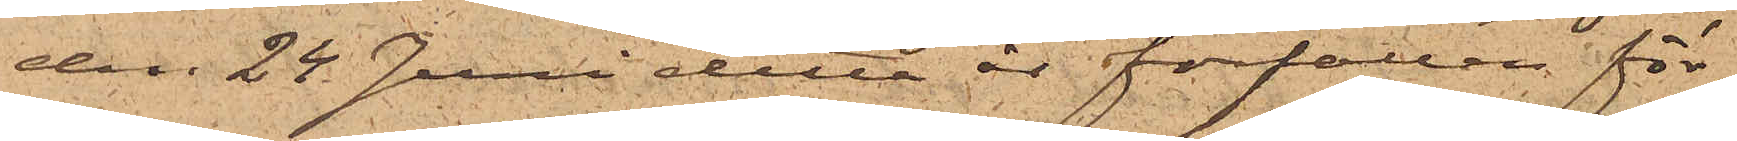den 24 Juni detta år förfallen för¬
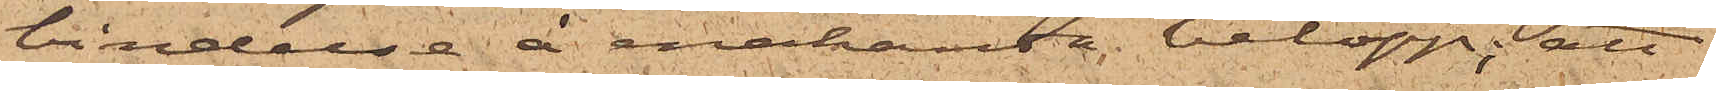bindelse å enahanda belopp; att
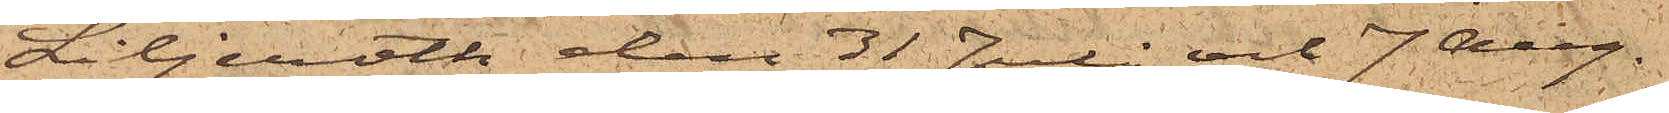Liljeroth den 31 Juli och 7 Aug.
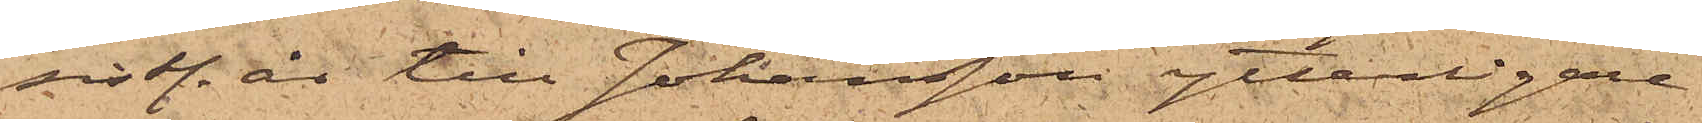sistl. år till Johansson ytterligare
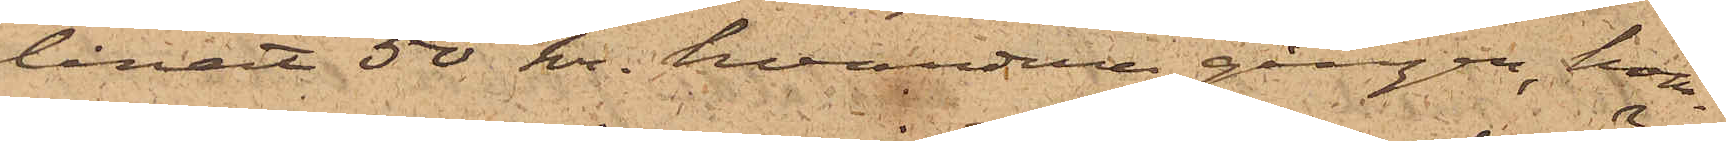lånat 50 kr. hvardera gången, hvar¬
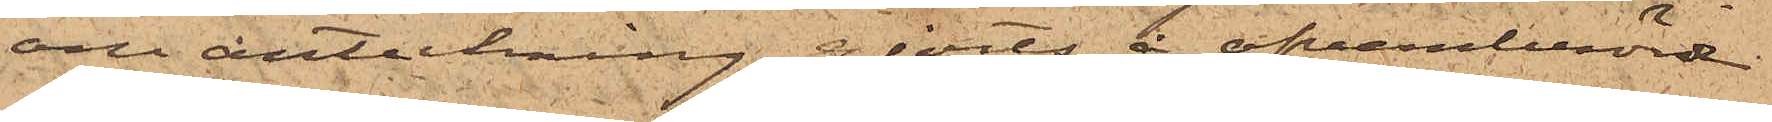om anteckning gjorts å ofvanberörde
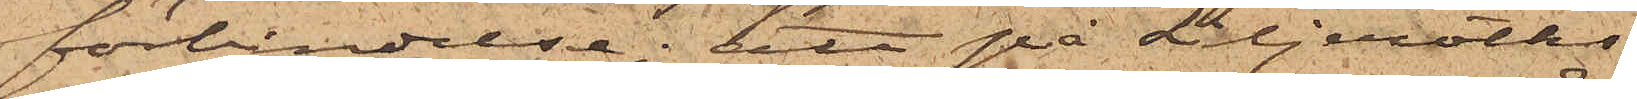förbindelse; att på Liljeroths
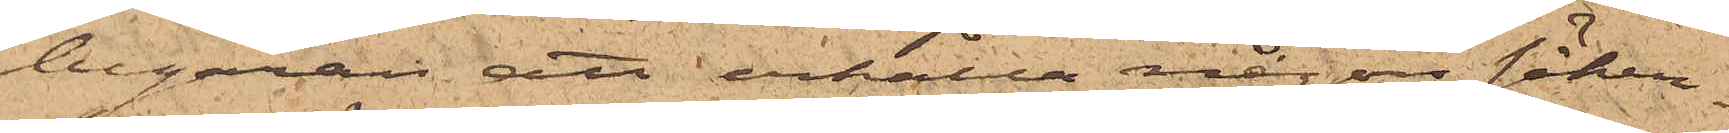begäran att erhålla någon säker¬
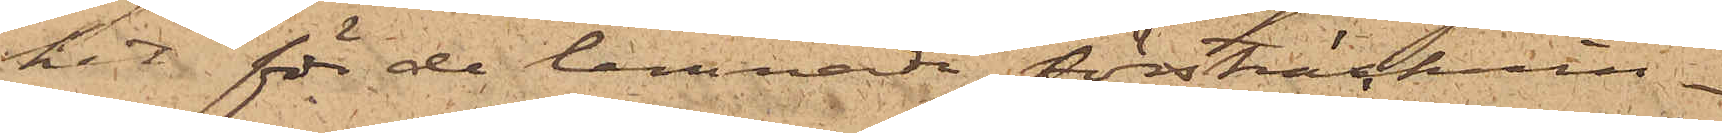het för de lemnade försträcknin¬
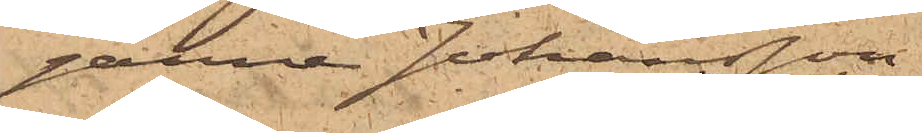garne Johansson
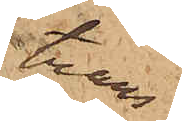trans¬
